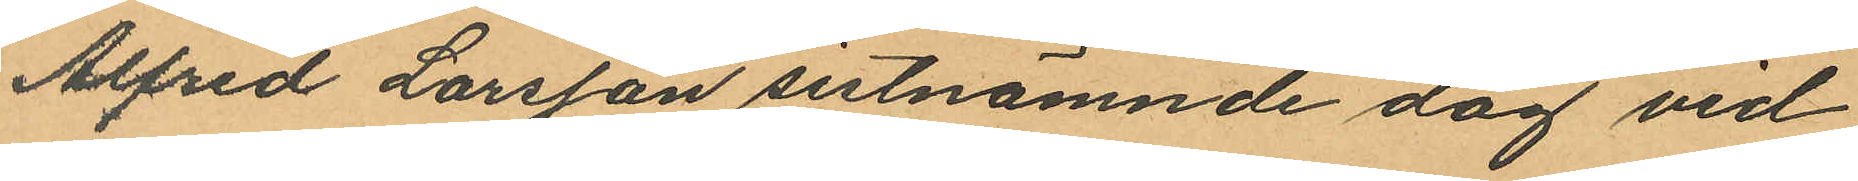Alfred Larsson sistnämnde dag vid
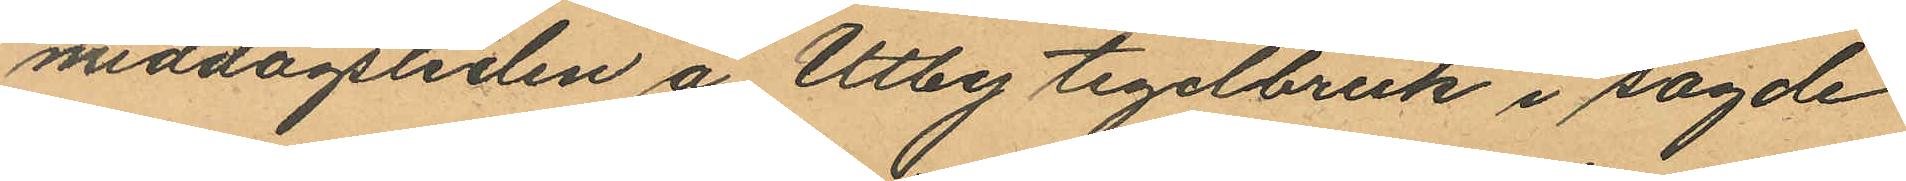middagstidlen å Utby tegelbruk i sagde
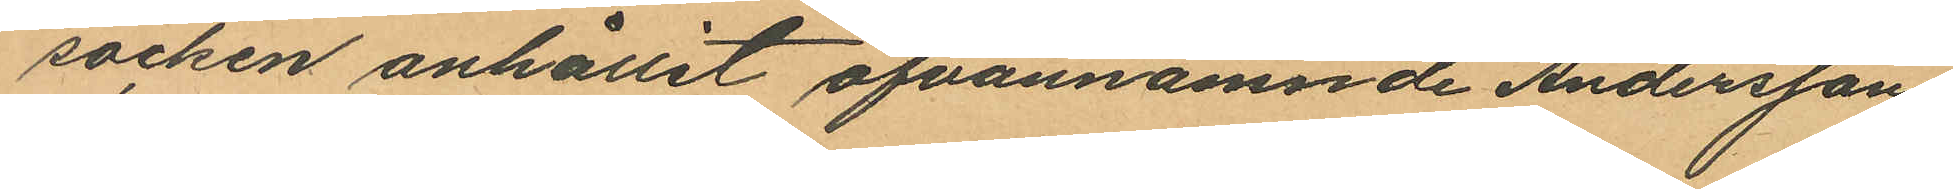socken anhållit ofvannämnde Andersson,
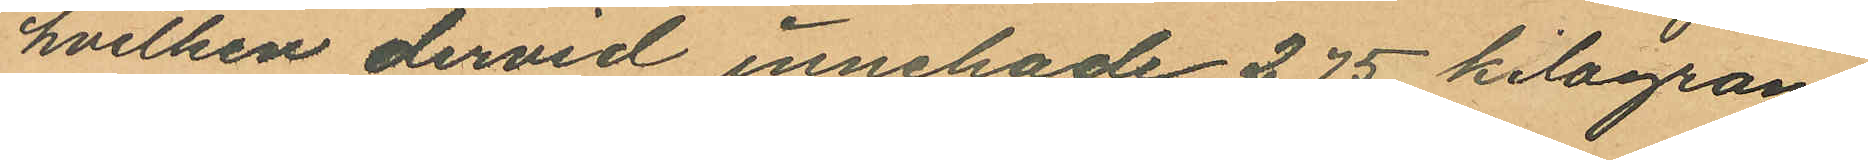hvilken dervid innehade 2,75 kilogram
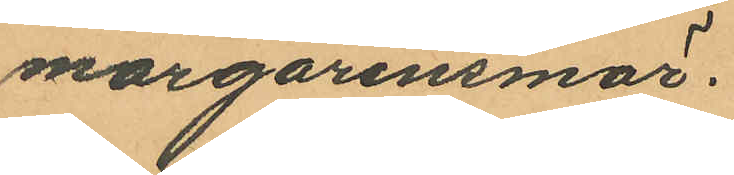margarinsmör.
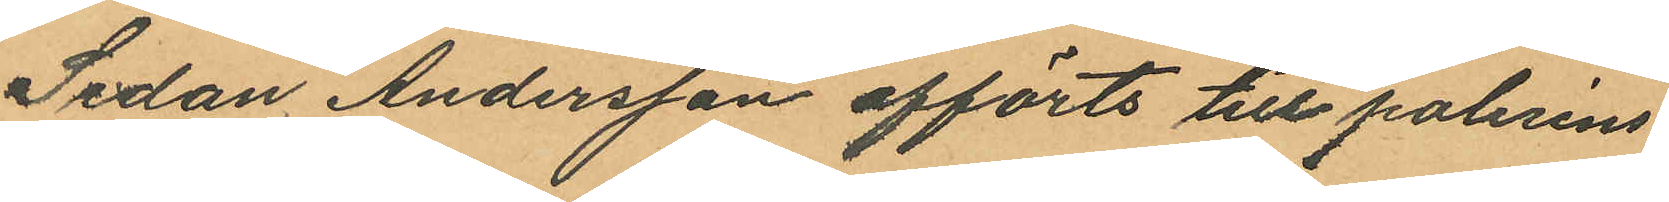Sedan Andersson afförts till polisens
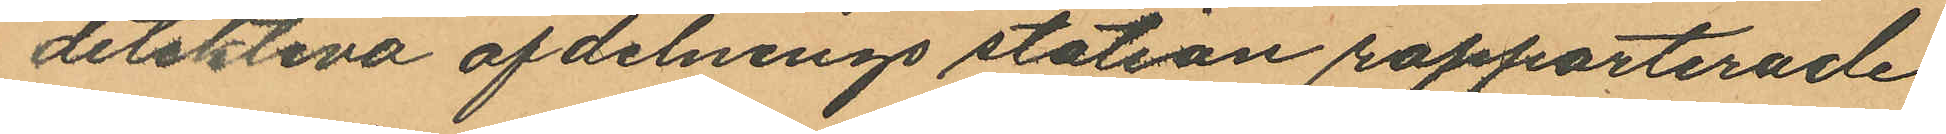detektiva afdelnings station rapporterade
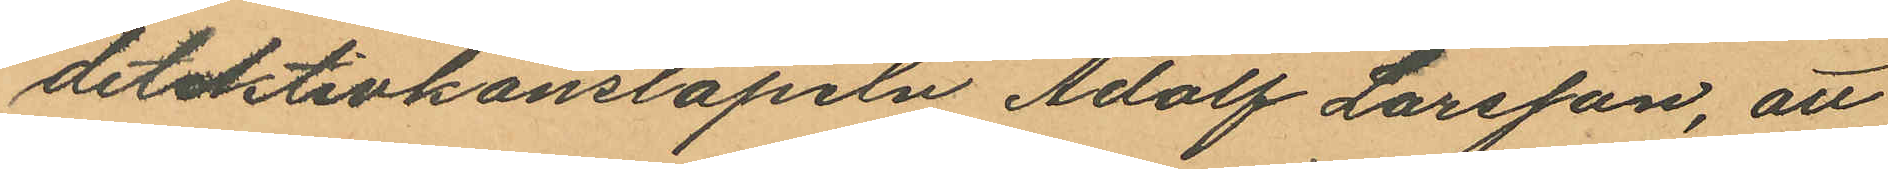detektivkonstapeln Adolf Larsson, att
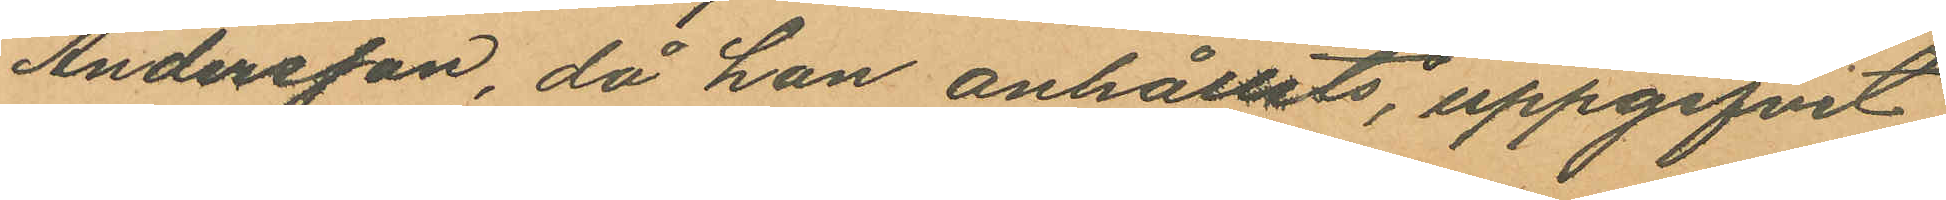Andersson, då han anhållits, uppgifvit
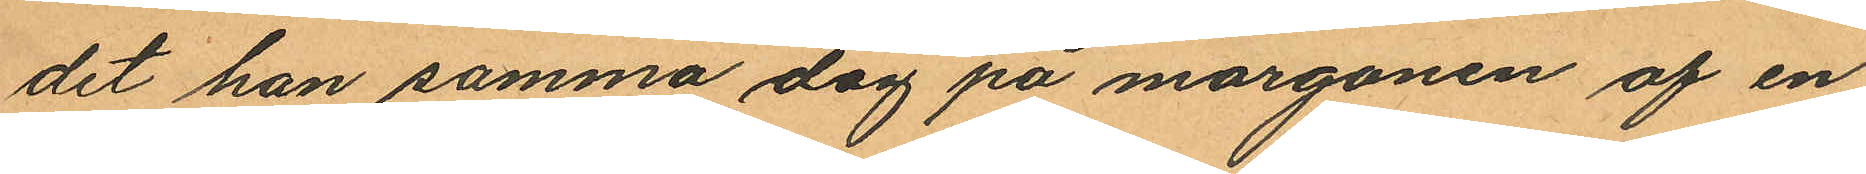det han samma dag på morgonen af en
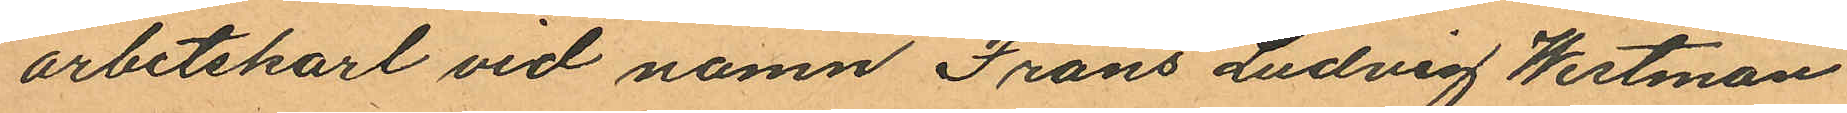arbetskarl vid namn Frans Ludvig Westman
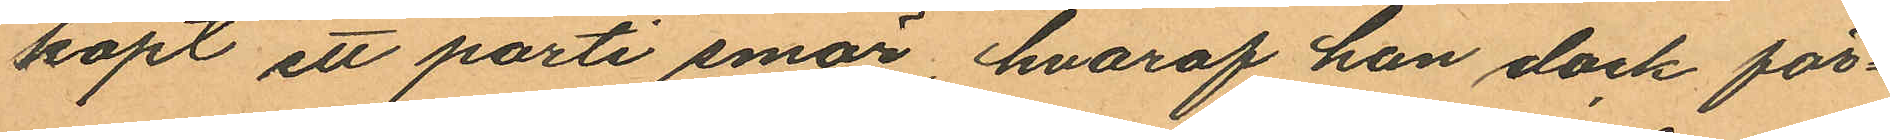köpt ett parti smör, hvaraf han dock för¬
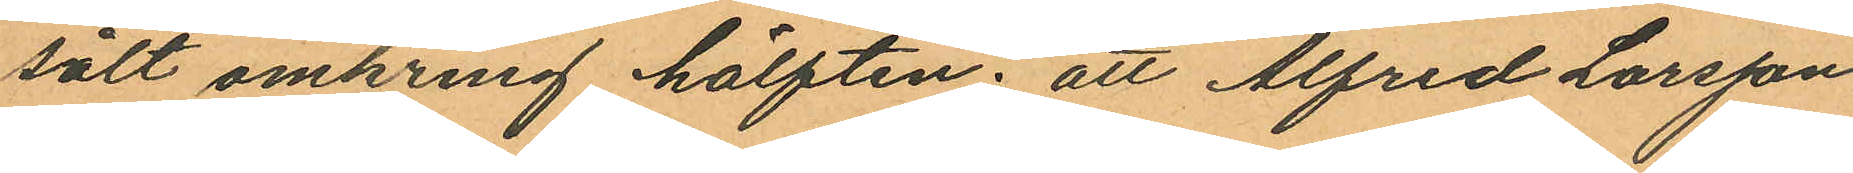sålt omkring hälften; att Alfred Larsson
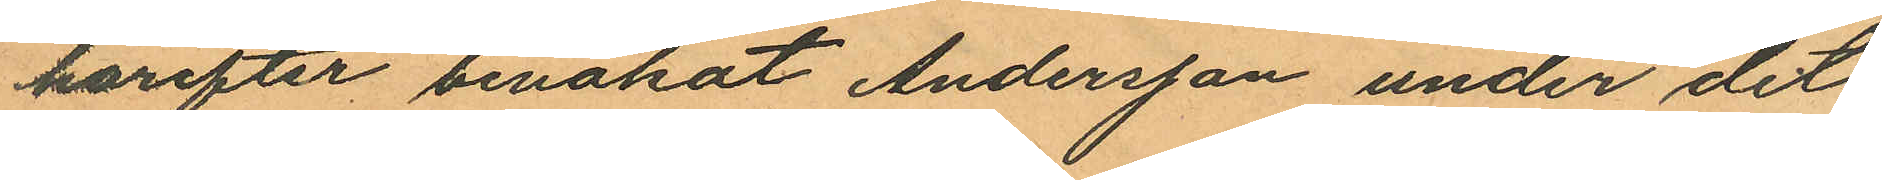härefter benakat Andersson under det
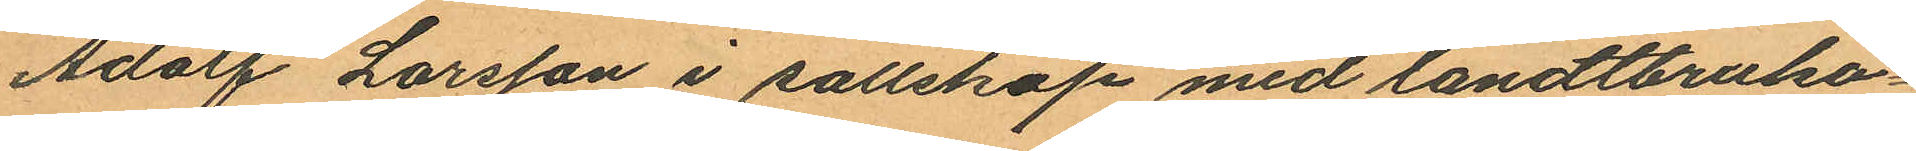Adolf Larsson i sällskap med landtbruka¬
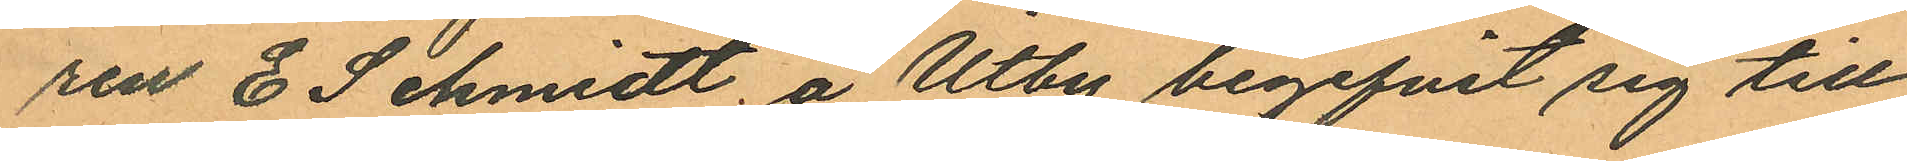ren E Schmidt, å Utby begifvit sig till
